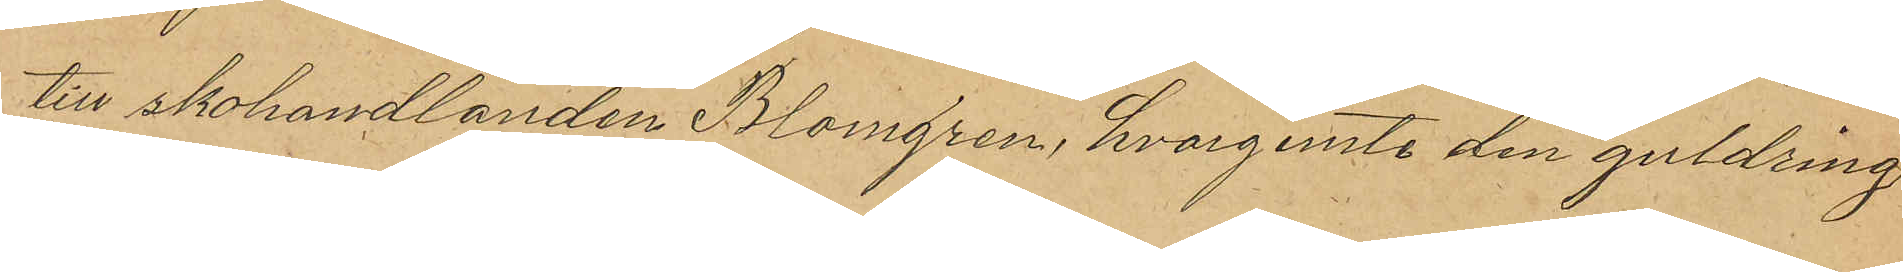till skohandlanden Blomgren, hvarjemte den guldring
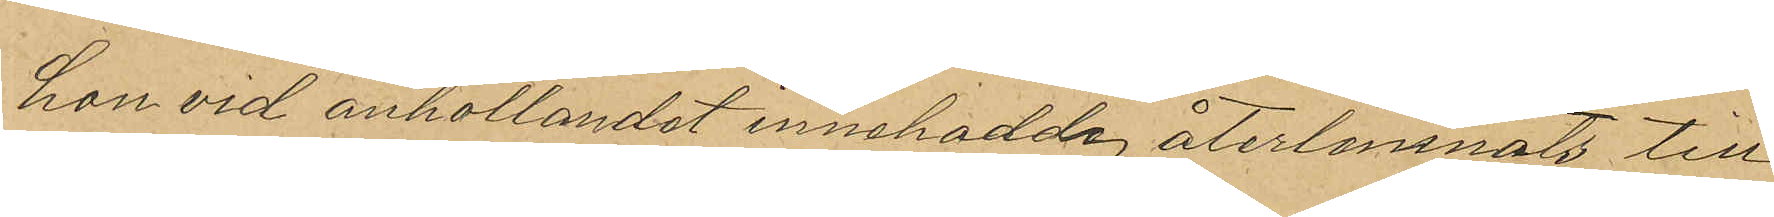hon vid anhollandet innehadde, återlemnats till
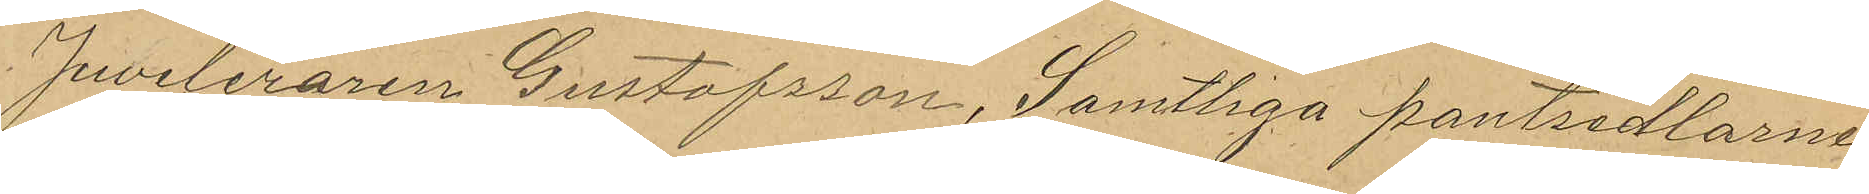Juveleraren Gustafsson, Samtliga pantsedlarne
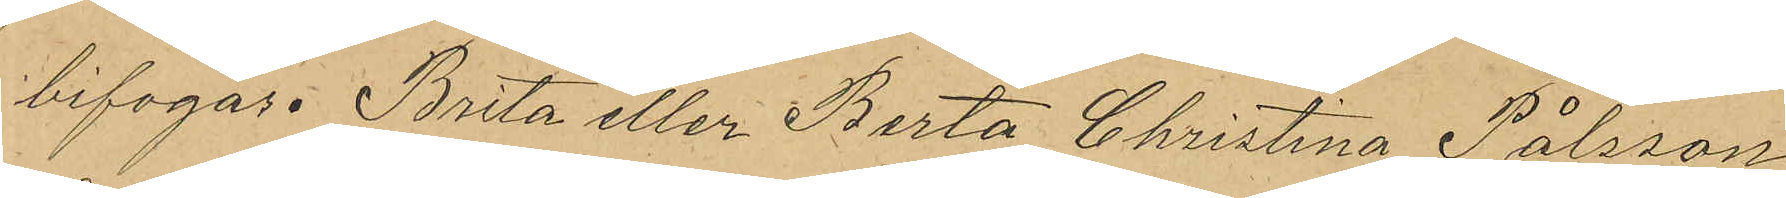bifogas. Brita eller Berta Christina Pålsson
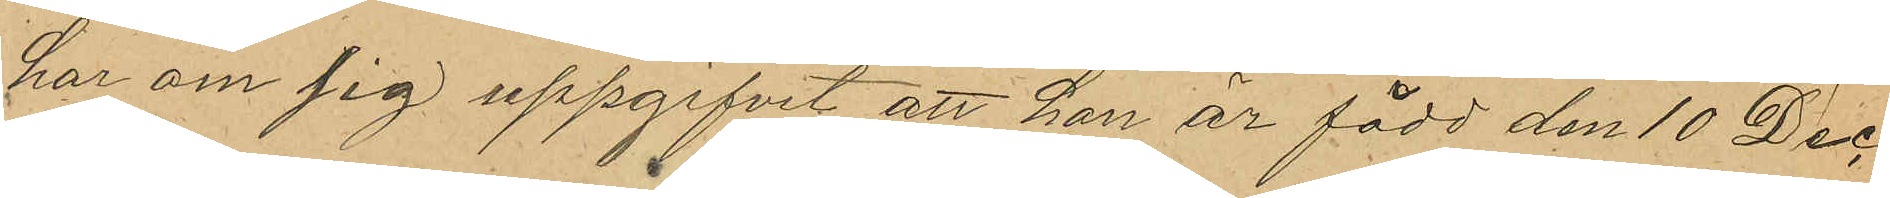har om sig uppgifvit att hon är född den 10 Dec¬
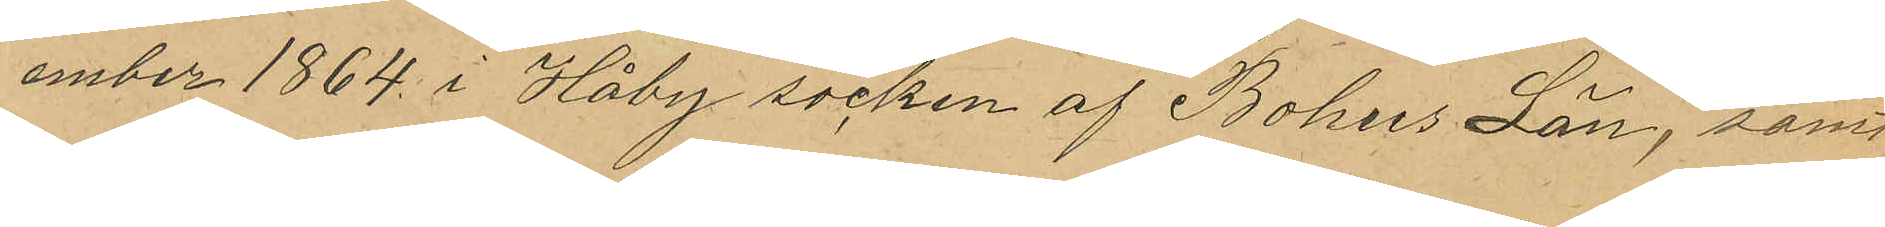ember 1864 i Håby socken af Bohus Län, samt
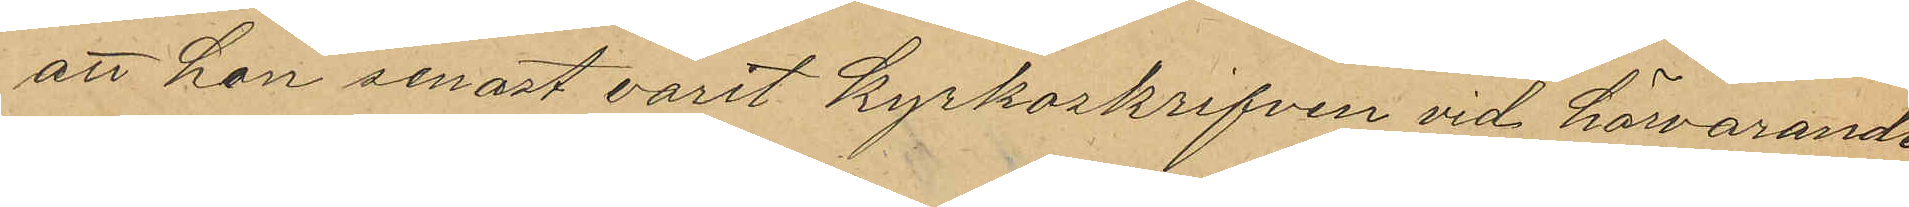att hon senast varit kyrkskrifven vid härvarande
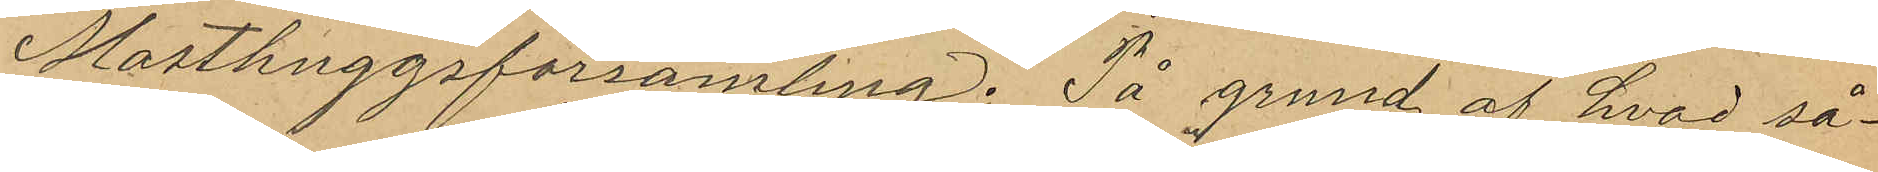Masthuggsförsamling. På grund af hvad så¬
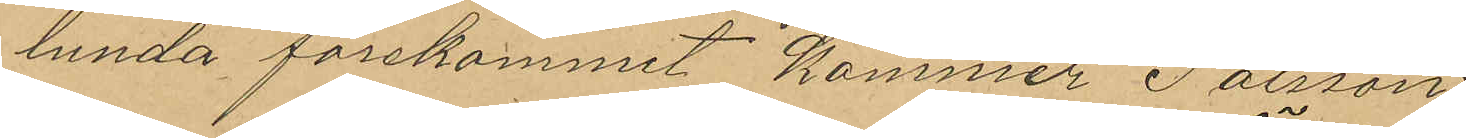lunda förekommit kommer Pålsson
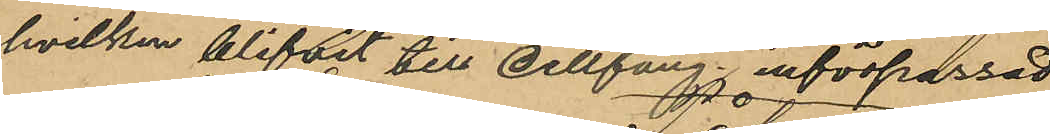hvilken blifvit till Cellfäng. införpassad
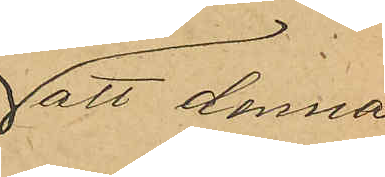att denna
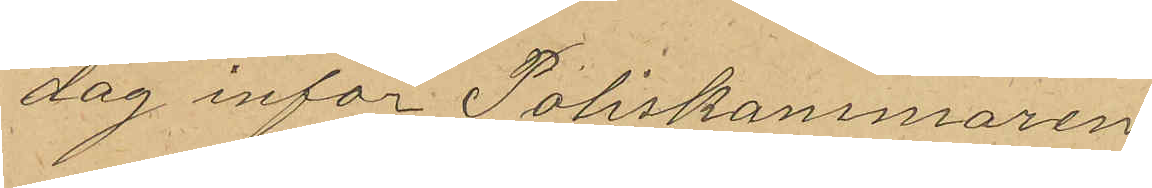dag inför Poliskammaren
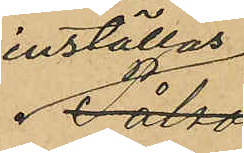inställas 
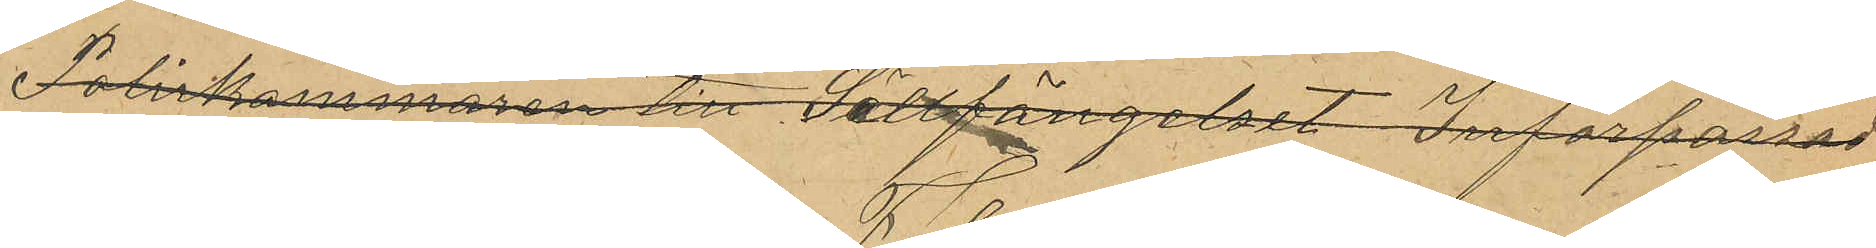Poliskammaren till Sällfängelset Införpassad
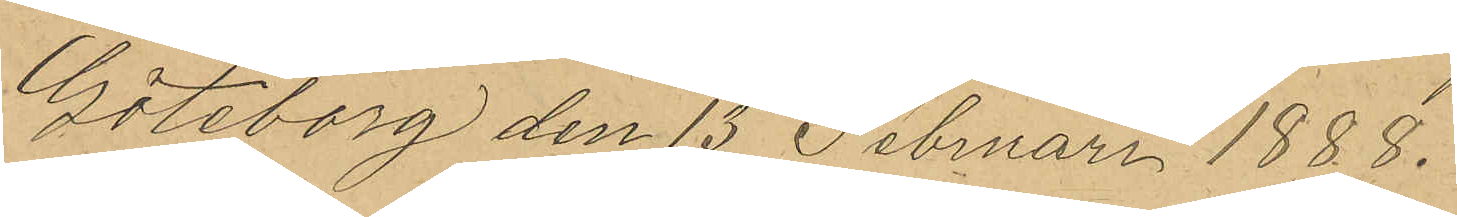Göteborg den 13 Februari 1888.
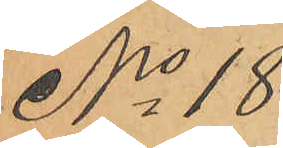No 18
